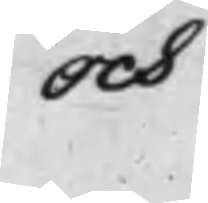och
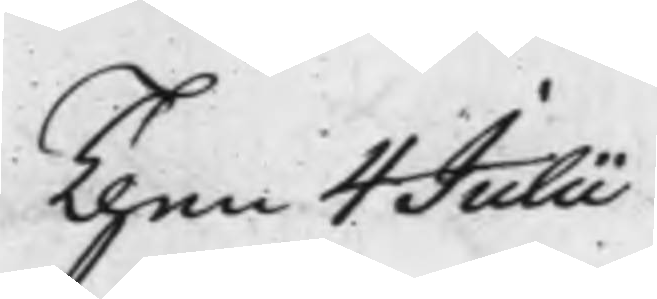Then 4 Julii
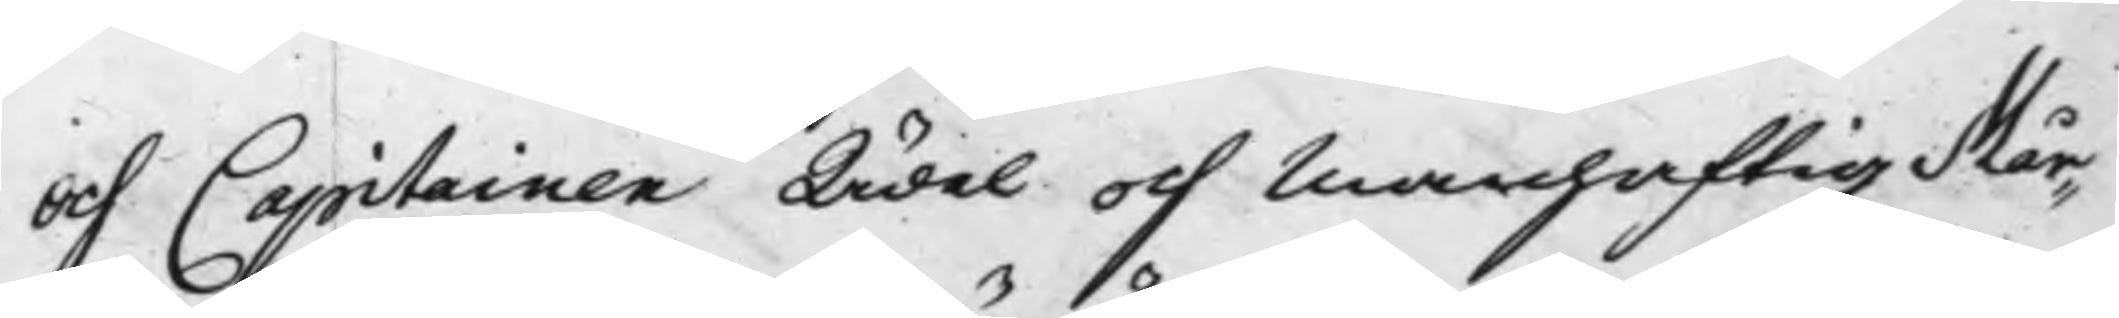och Capitainen Ädel och Manhaftig Mår¬
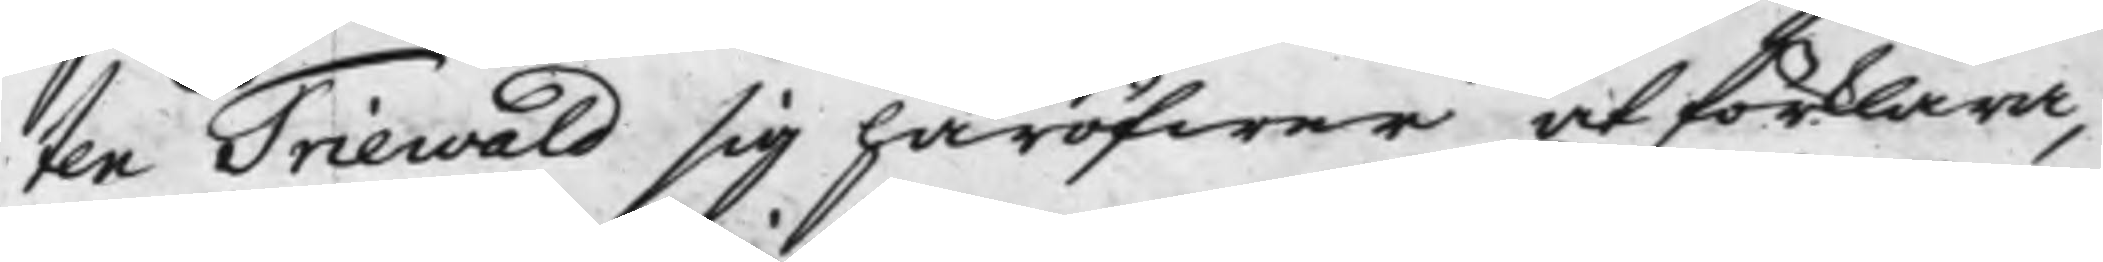ten Triewald sig häröfwer at förklara,
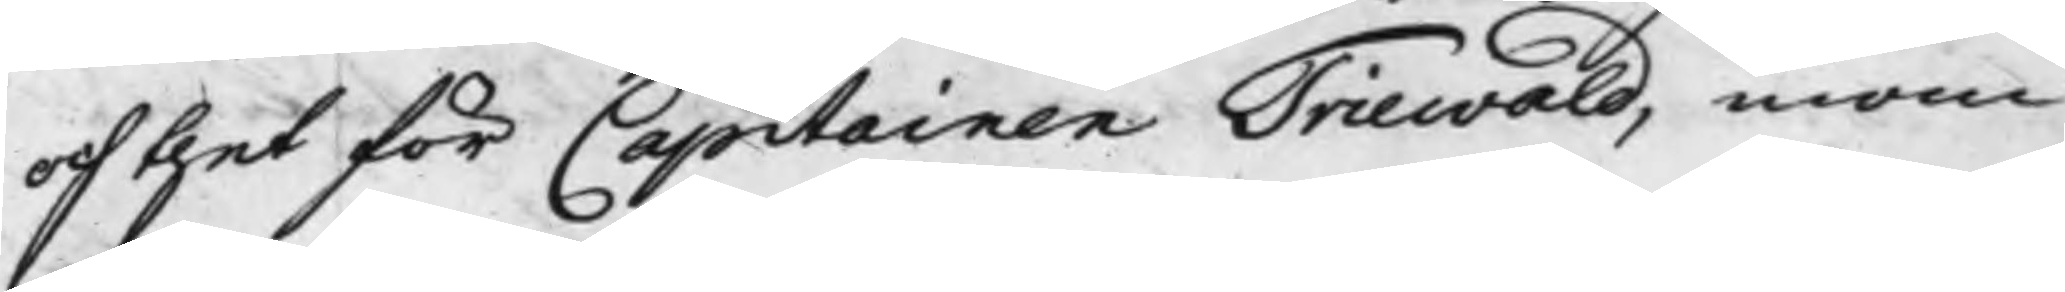och thet för Capitainen Triewald, inom
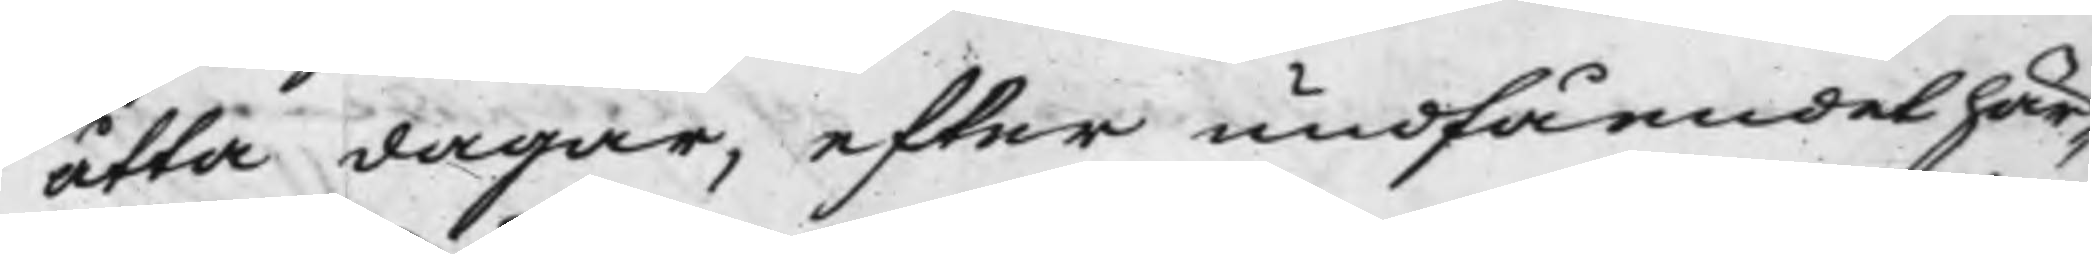åtta dagar, efter undfåendes här¬
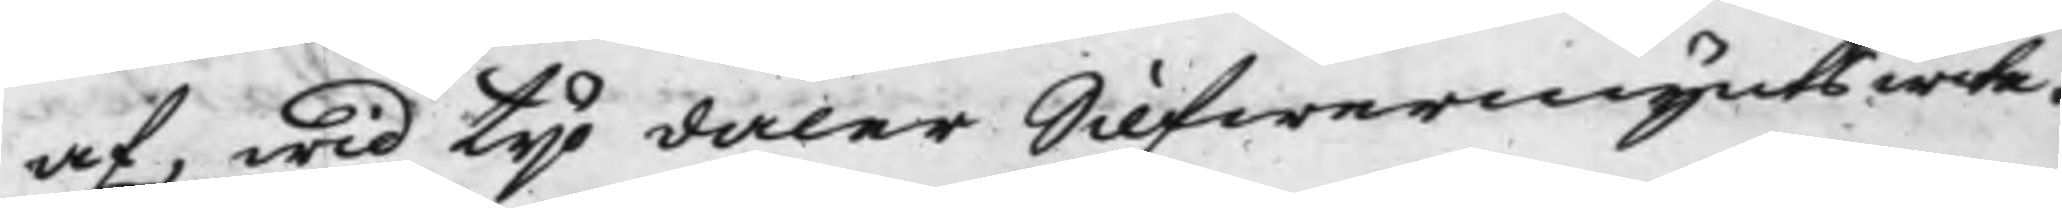af, wid tijo daler Silfwermynts wite.
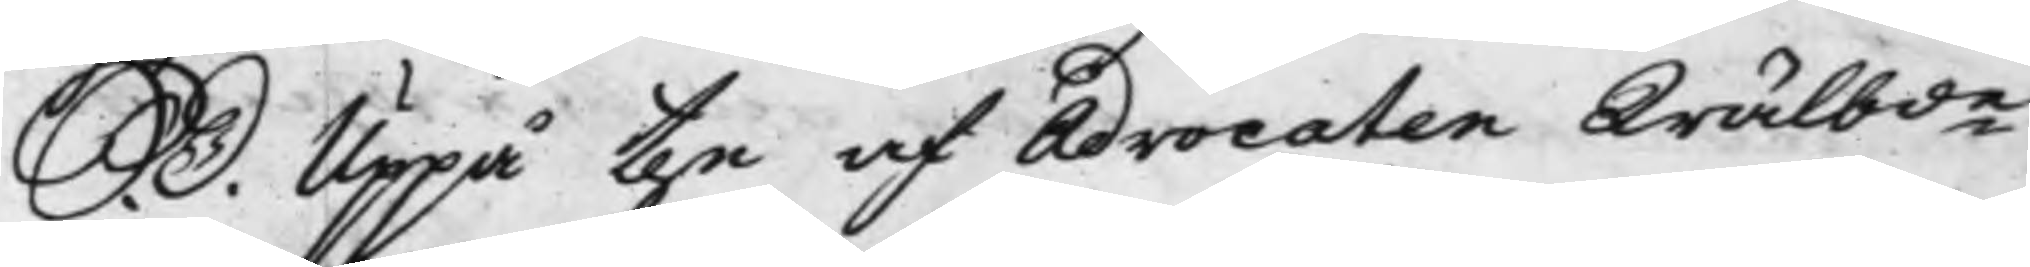S. D. Uppå the af Advocaten Wälbde
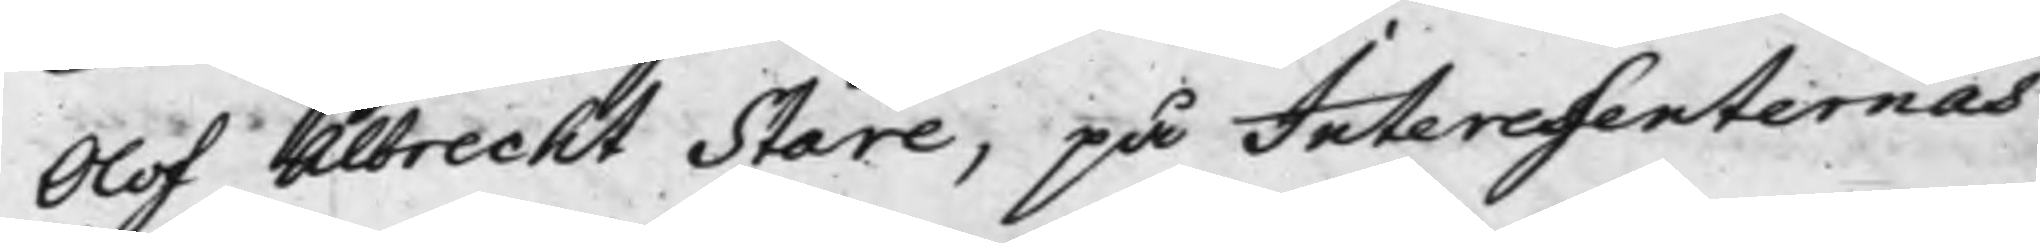Olof Albrecht Stare, på Interessenternas
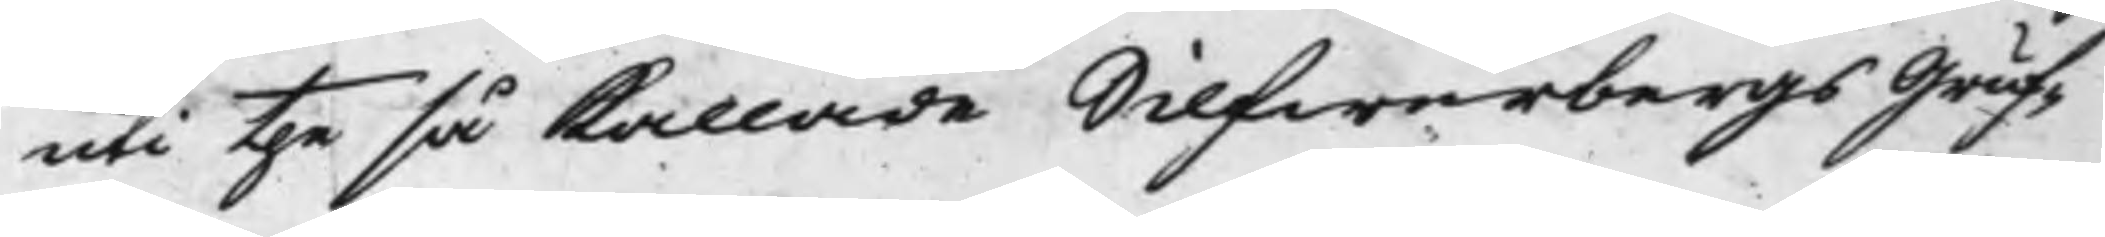uti the så kallade Silfwerbergs Gruf¬
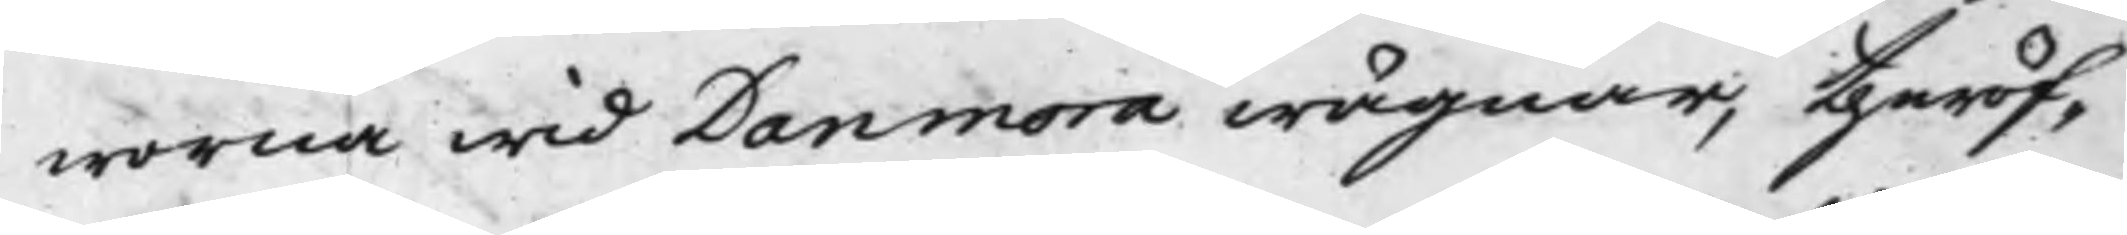worna wid Danmora wägnar, theröf¬
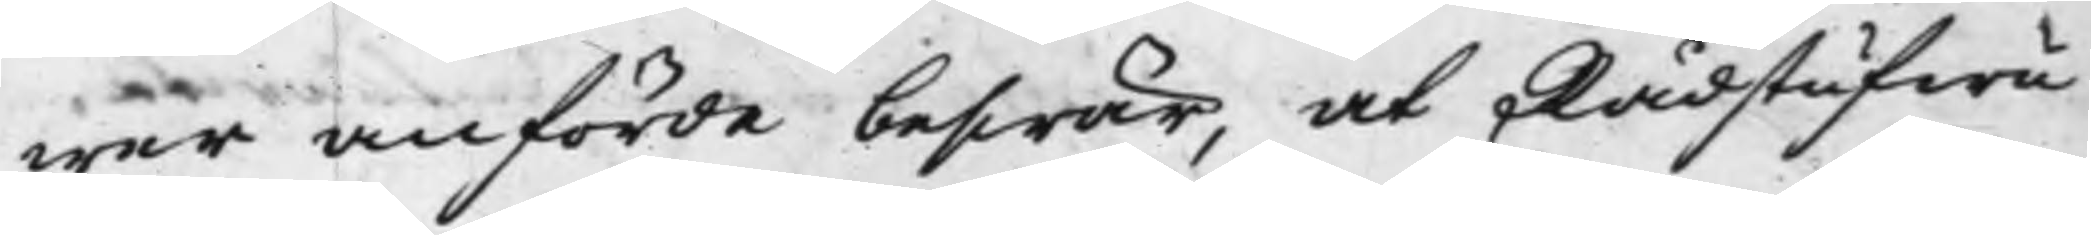wer anförde beswär, at Rådstufwu¬
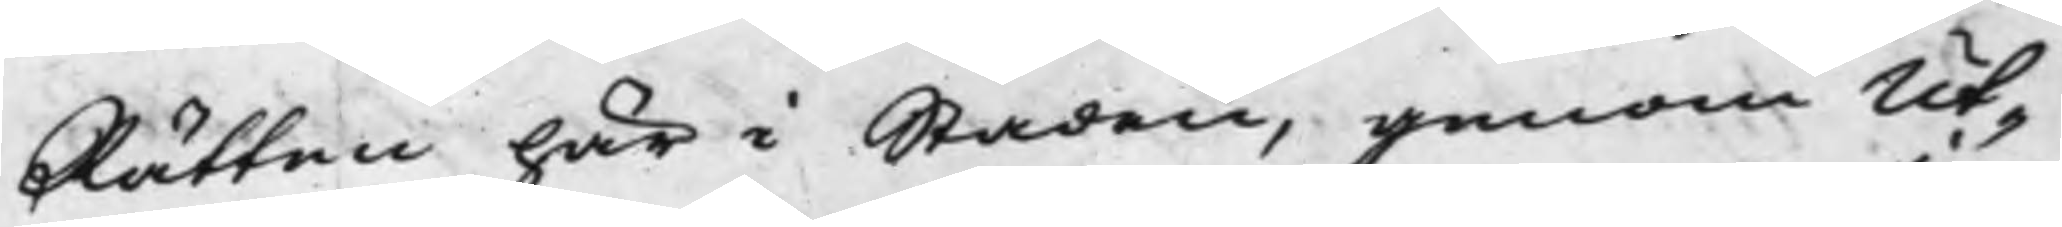Rätten här i Staden, genom Ut¬
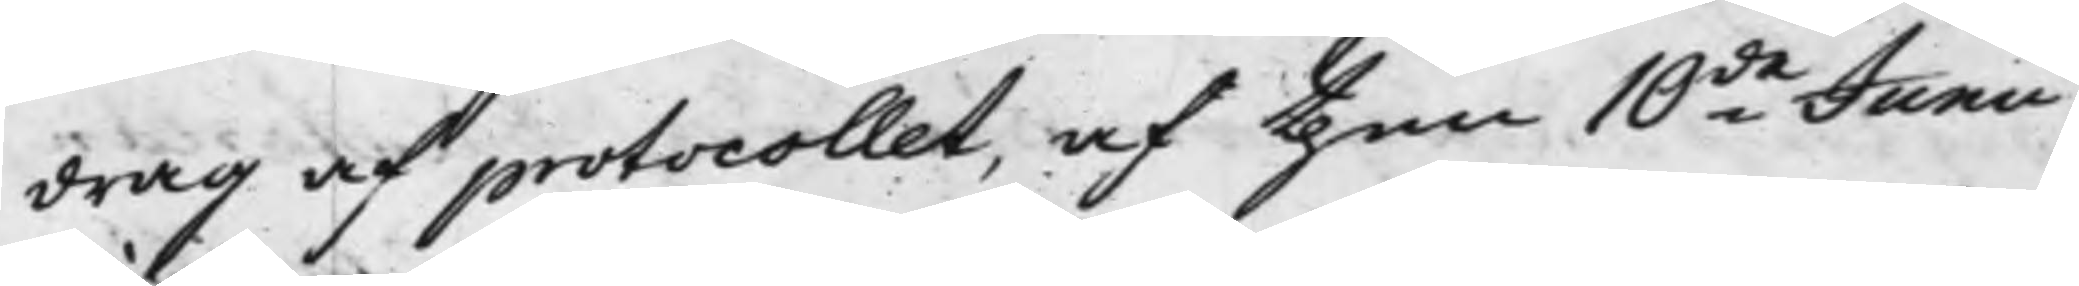drag af protocollet, af then 10de Junii
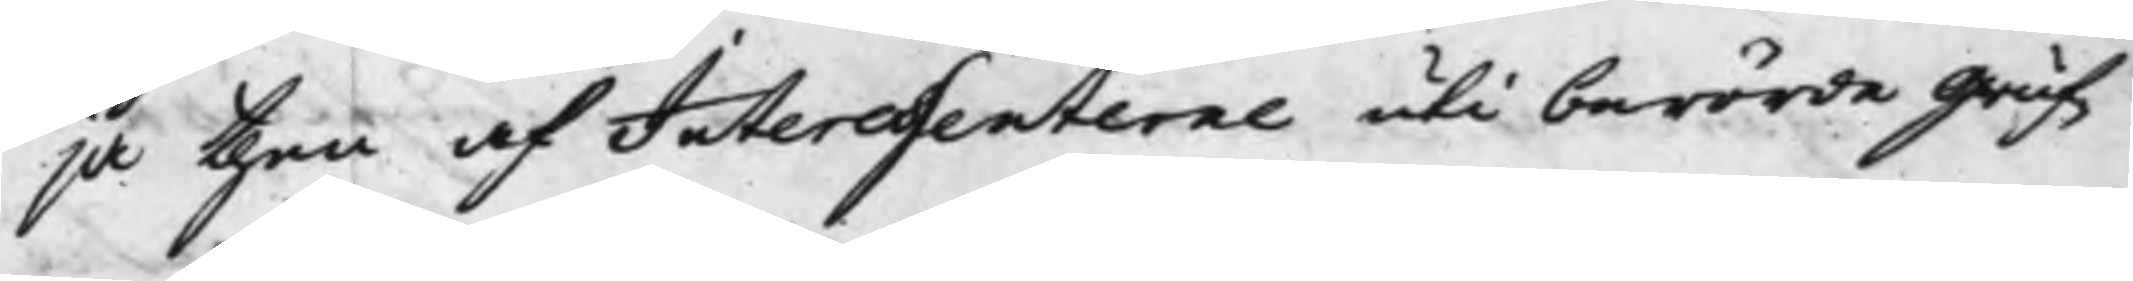ja then af Interessenterne uti berörde gruf¬
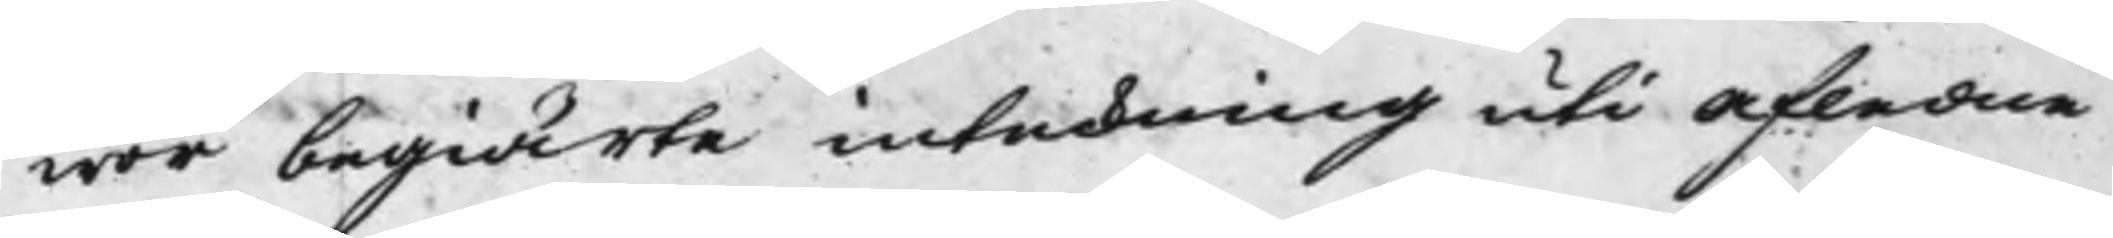wor begiärte inteckning uti afledne
